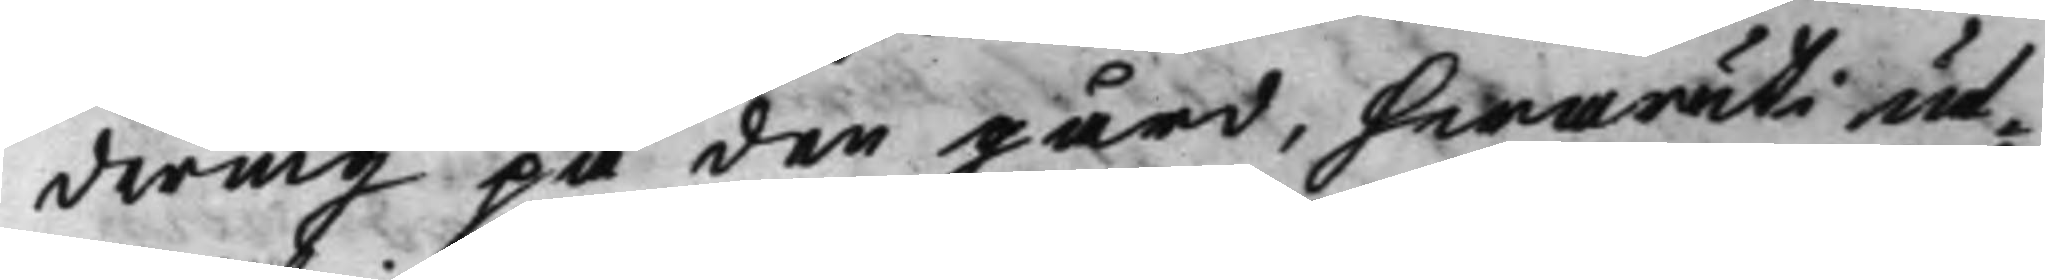dering på den gård, hwaruti ut¬
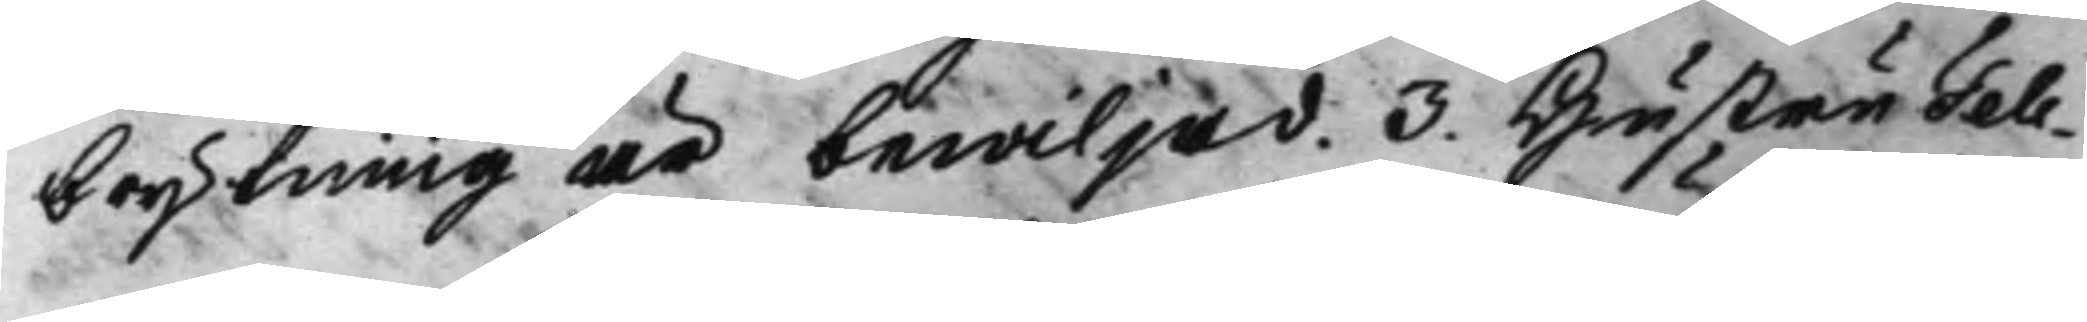brytning år bewiljad. 3. Hustru Tell¬
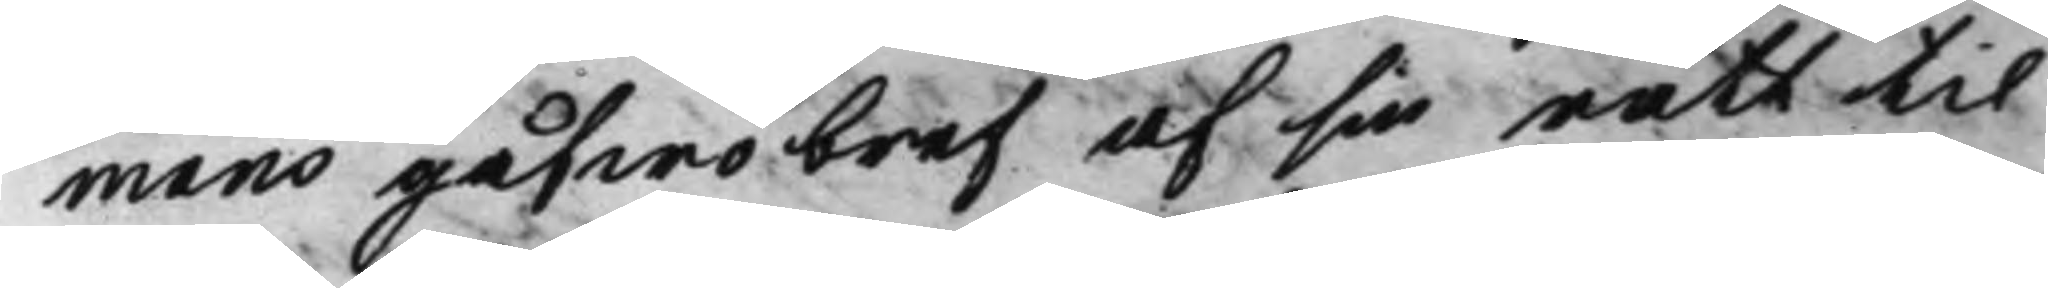mans gåfwobref af sin rätt til
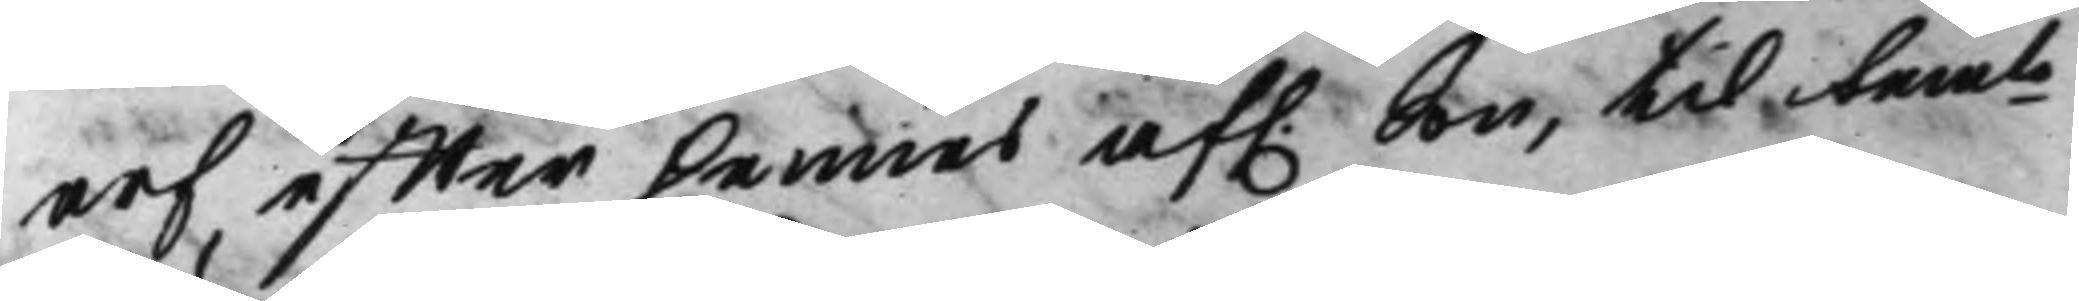arf, effter hennes af. Son, til bemte
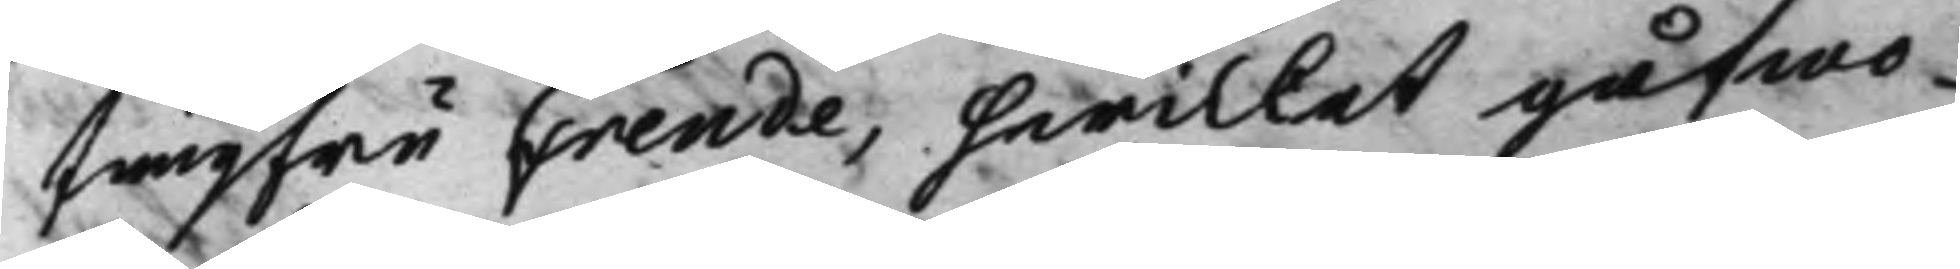Jungfru Frende, hwilket gåfwo¬
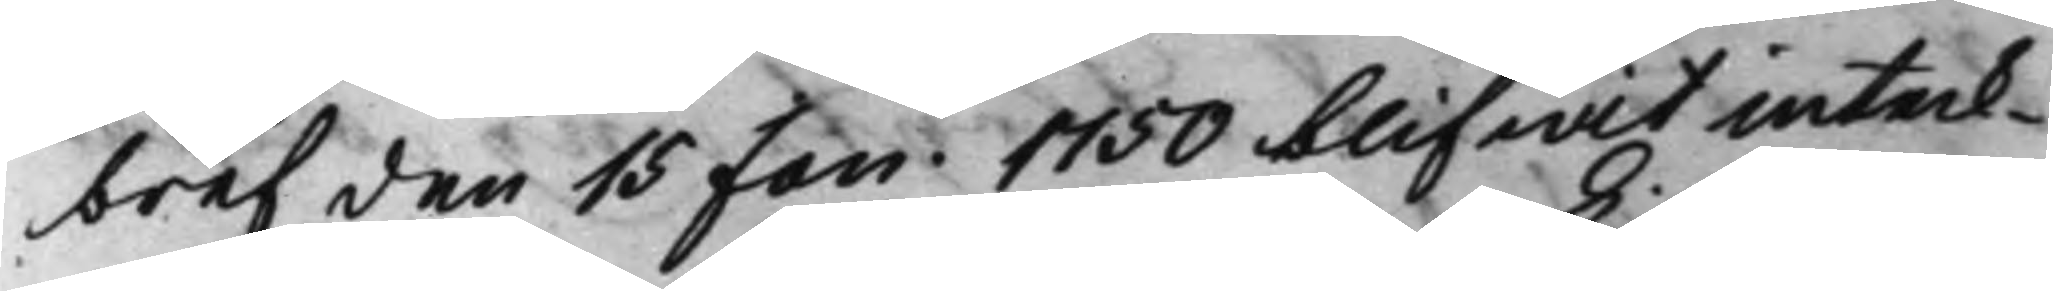bref den 15 Jan 1750 blifwit inteck¬
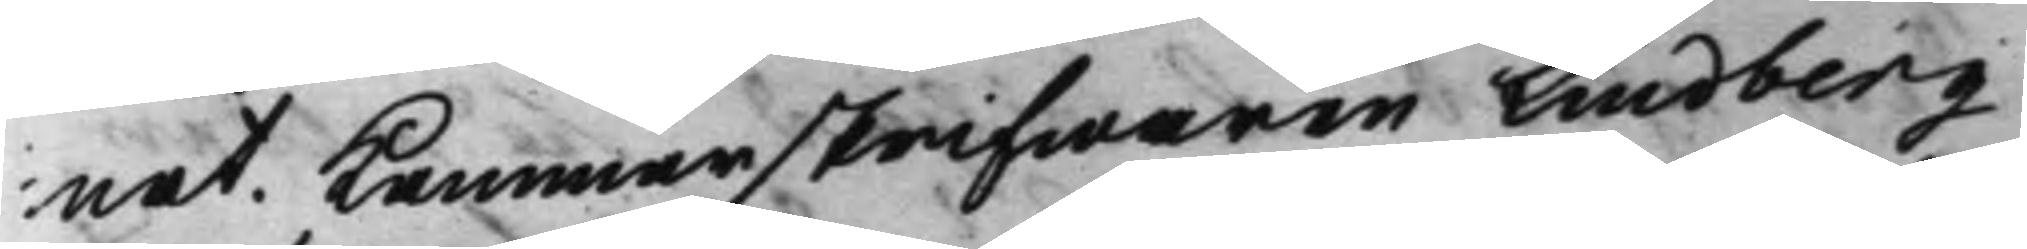nat. Kammarskrifwaren Lindberg
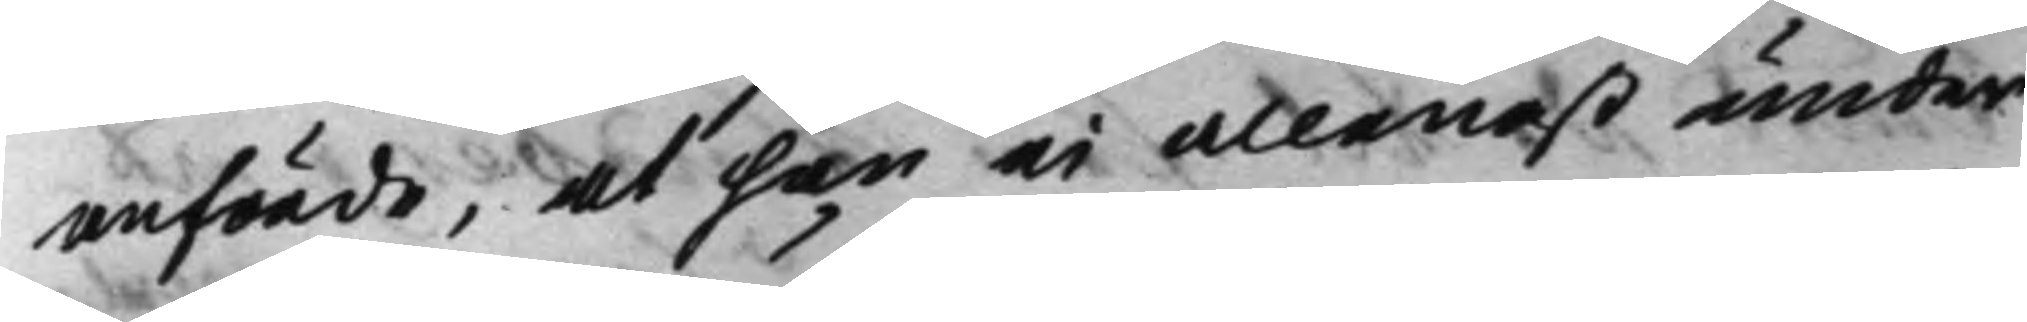anförde, at han ei allenast under
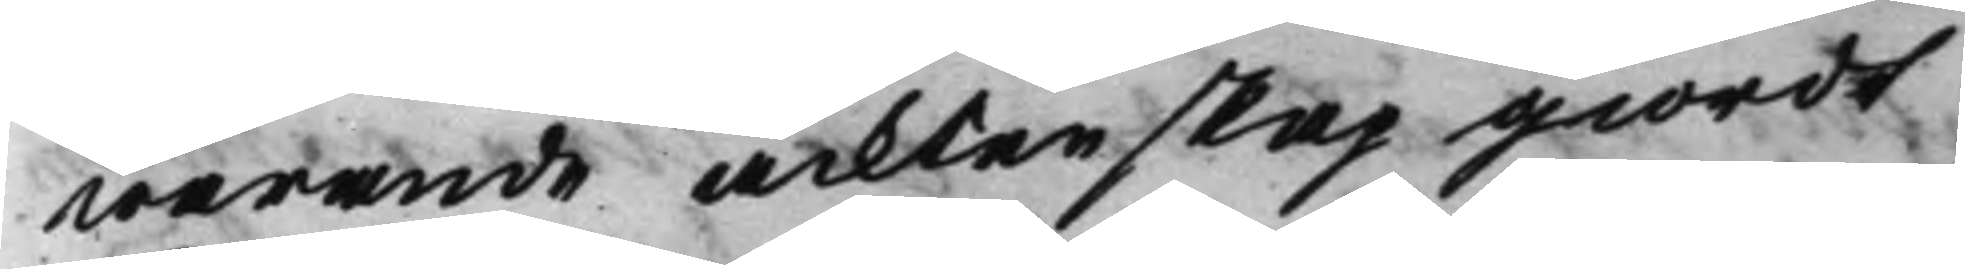warande äcktenskap giordt
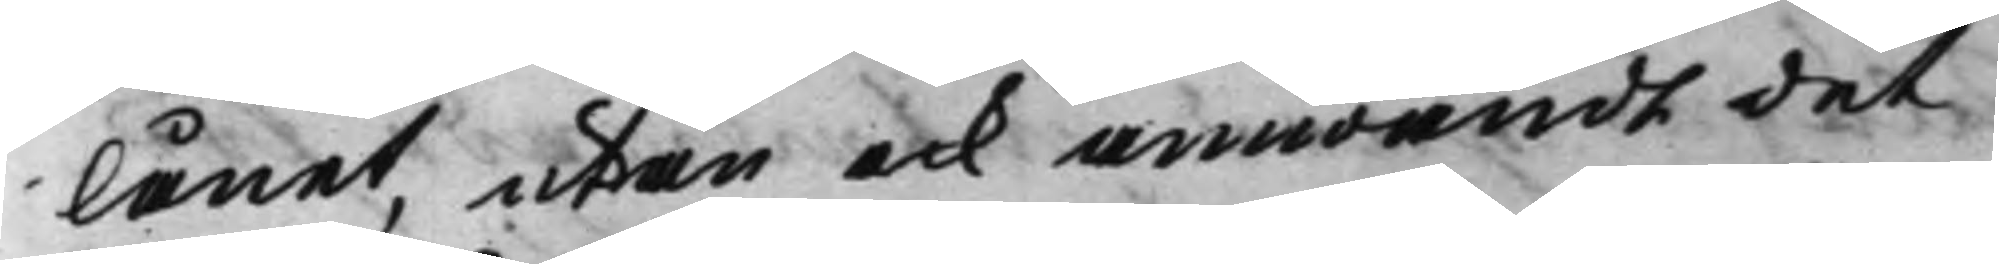lånet, utan ock anwändt det
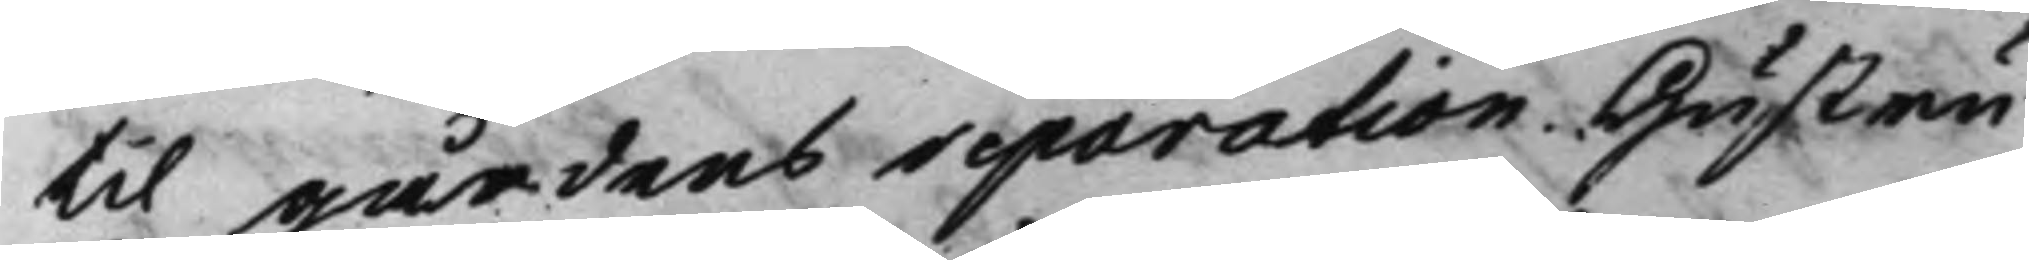til gårdens reparation. Hustru
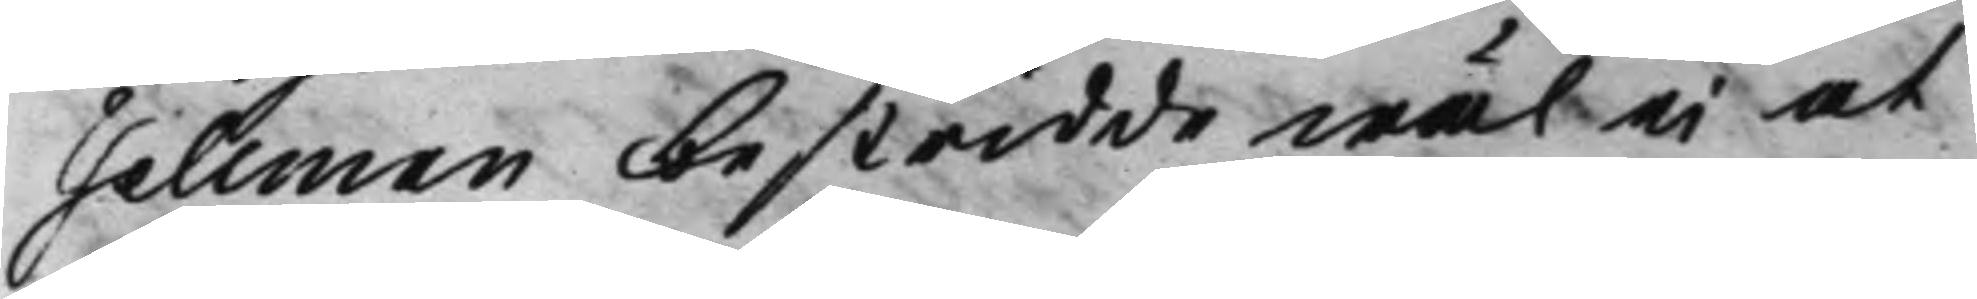Tellman bestridde wäl ei at
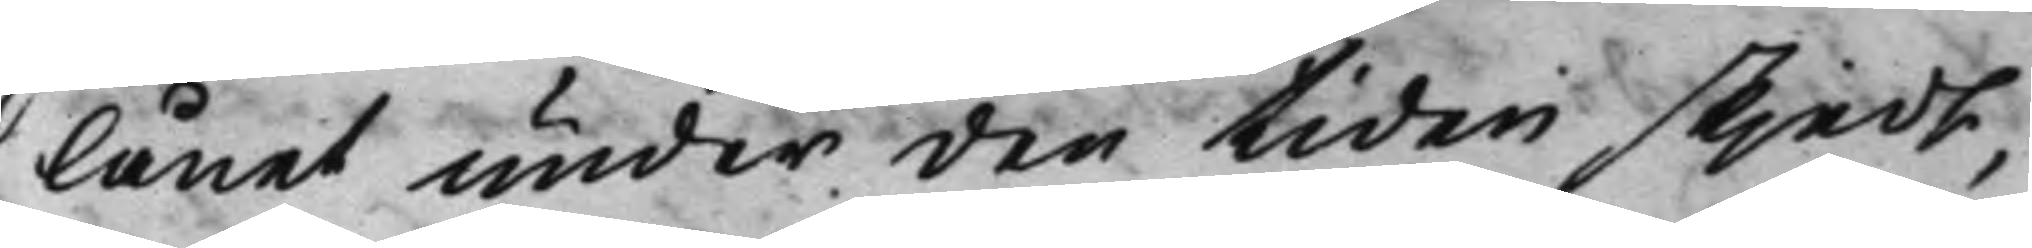lånet under den tiden skjedt,
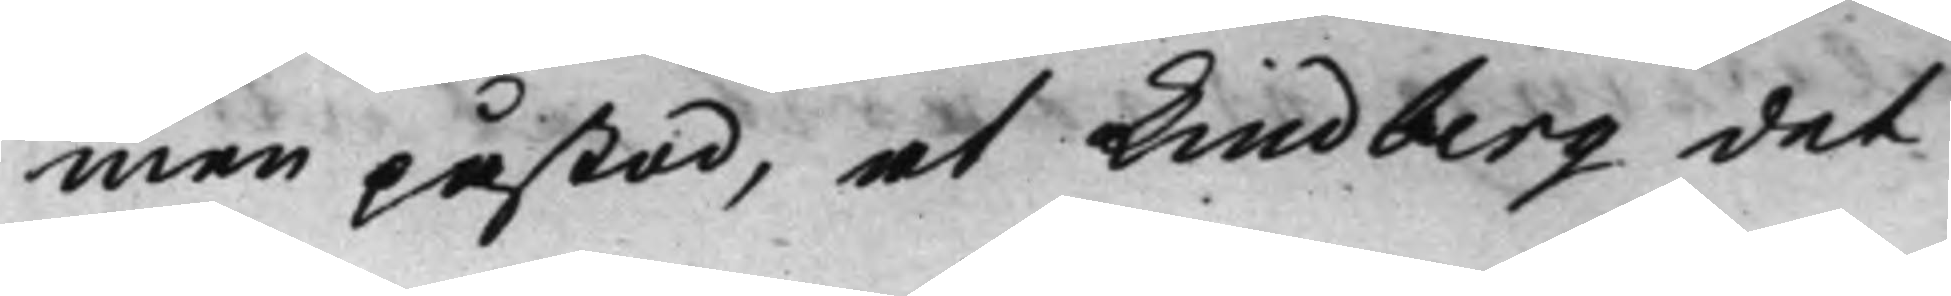men påstod, at Lindberg det
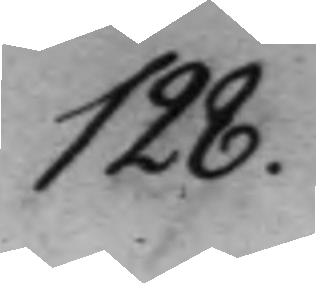128.
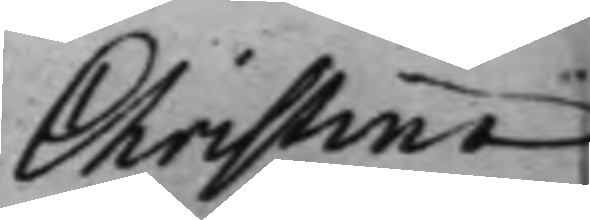Christina
